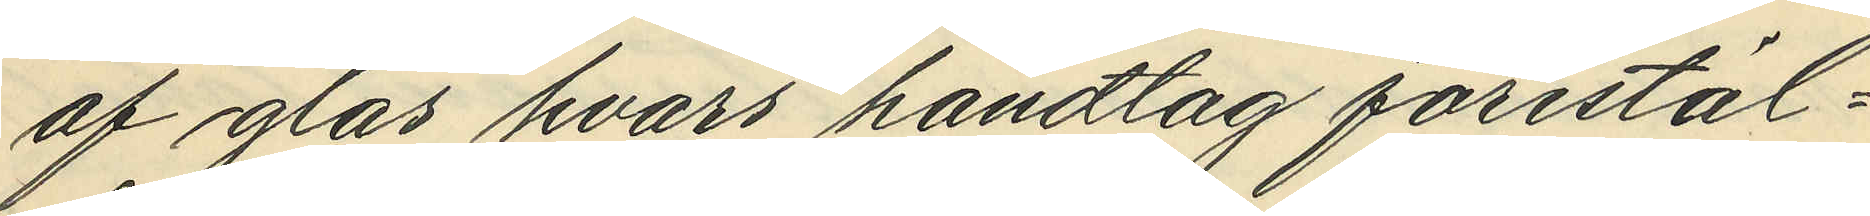af glas hvars handtag förestäl¬
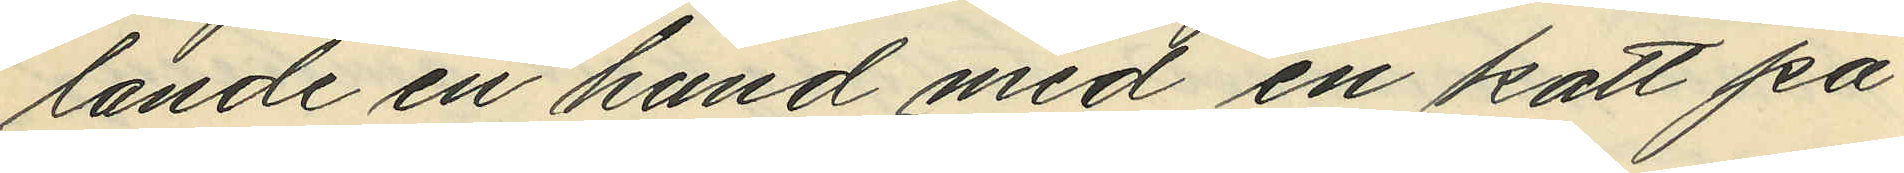lande en hand med en katt på
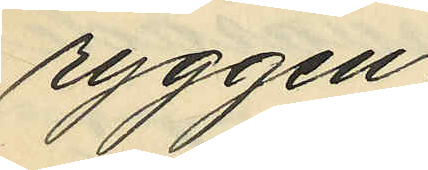ryggen,
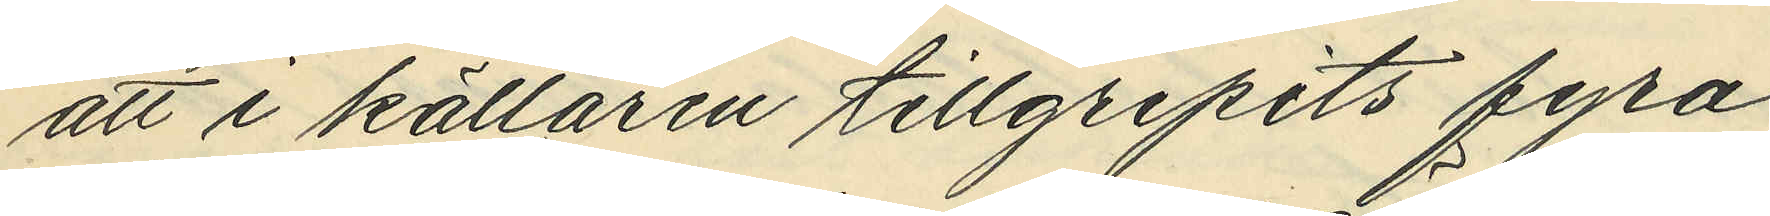att i källaren tillgripits fyra
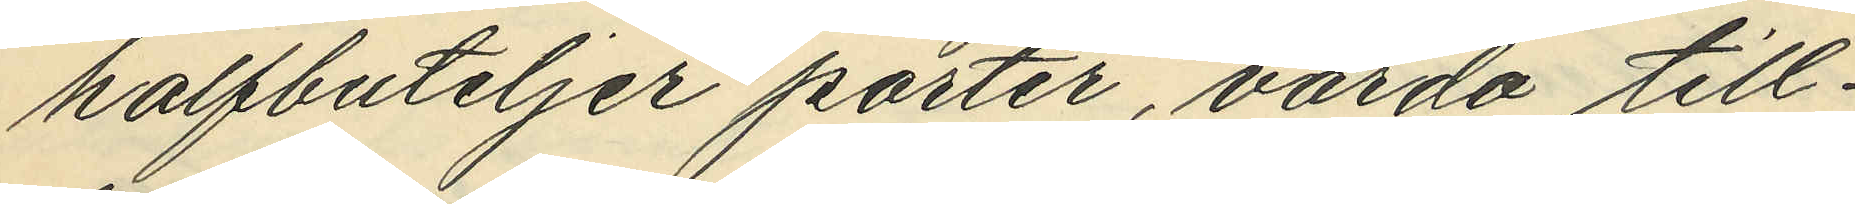halfbuteljer porter, värda till¬
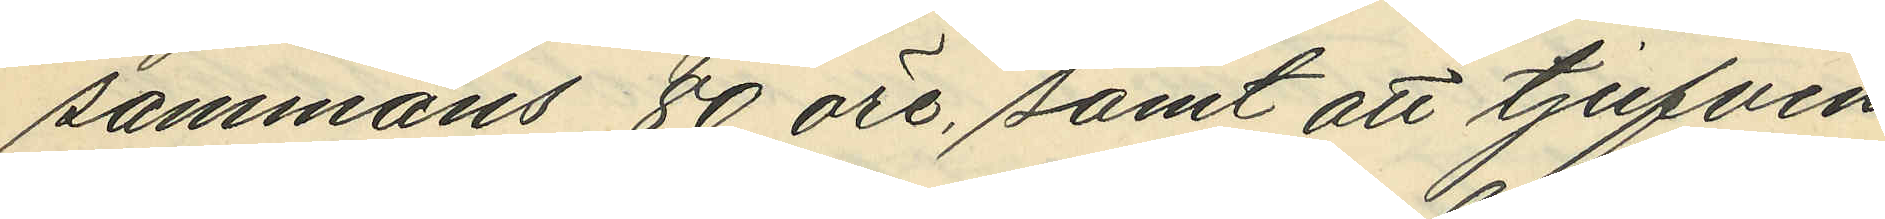sammans 80 öre, samt att tjufven
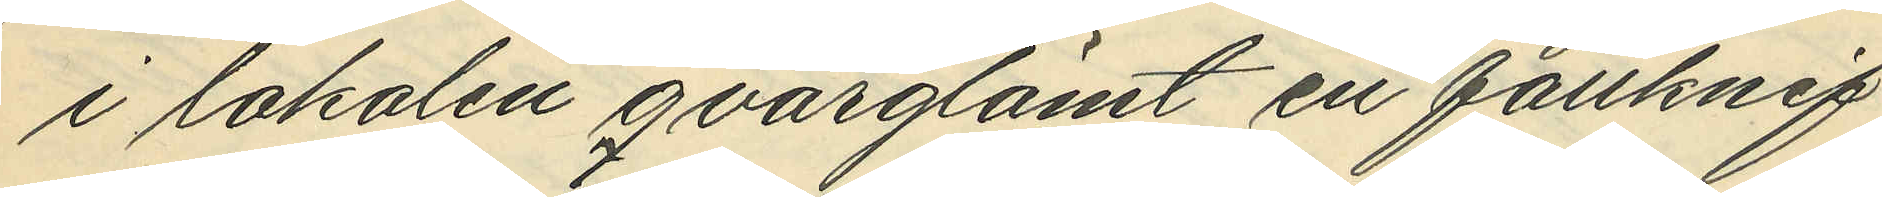i lokalen qvarglömt en fällknif
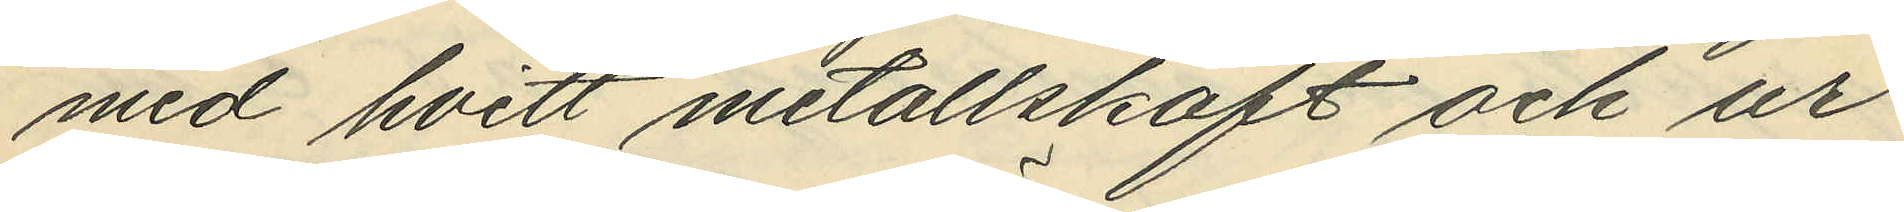med hvitt metallskaft och ur¬
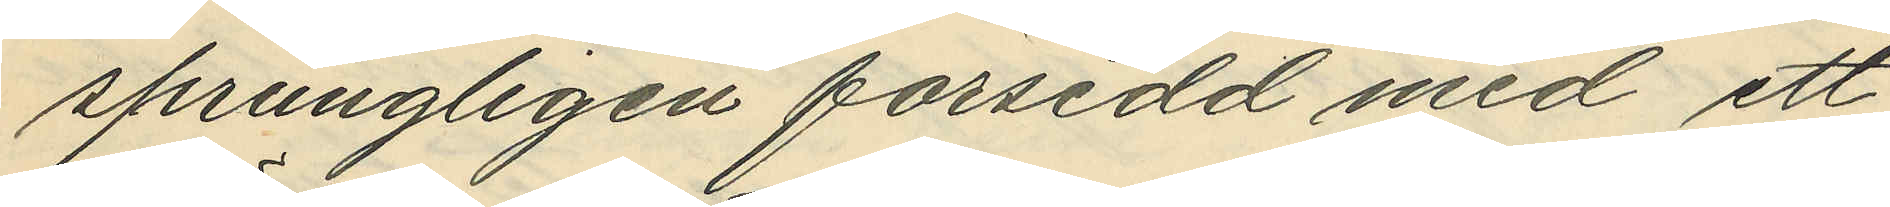sprungligen försedd med ett
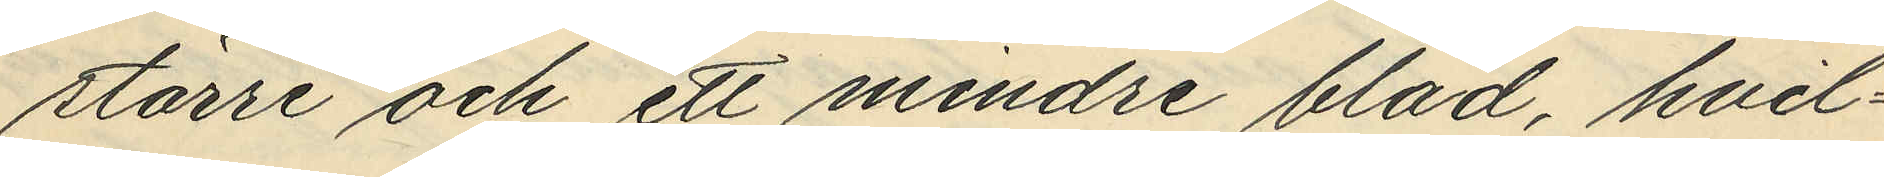större och ett mindre blad, hvil¬
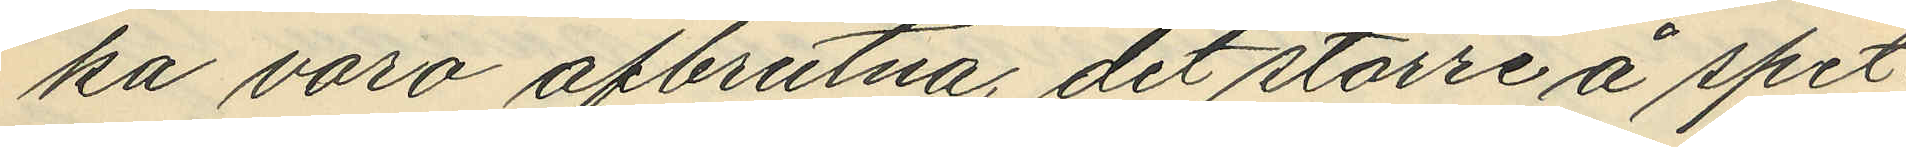ka vara afbrutna, det större å spet¬
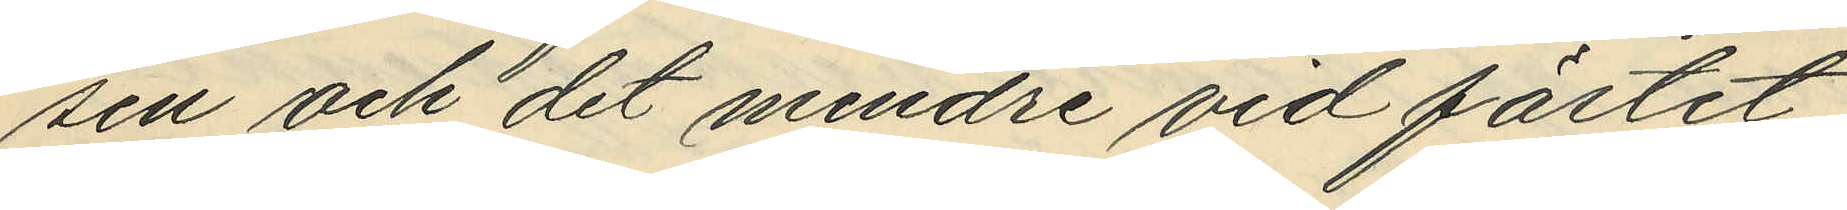sen och det mindre vid fästet,
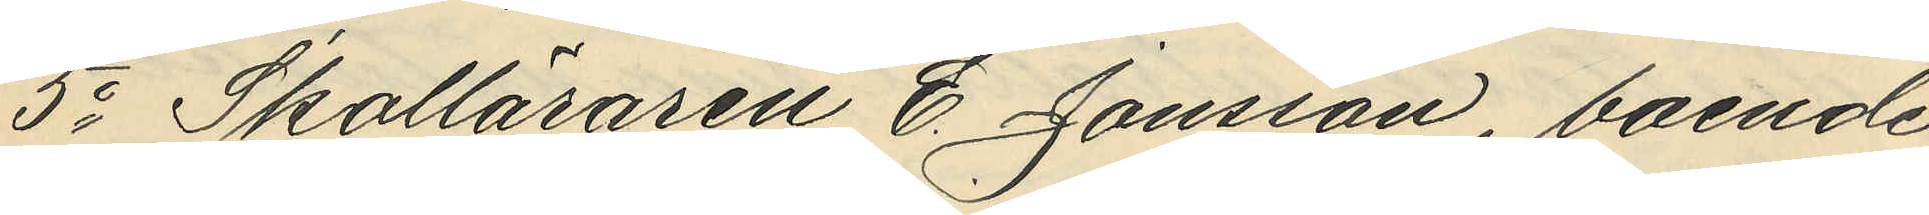5o Skolläraren E. Jonsson, boende
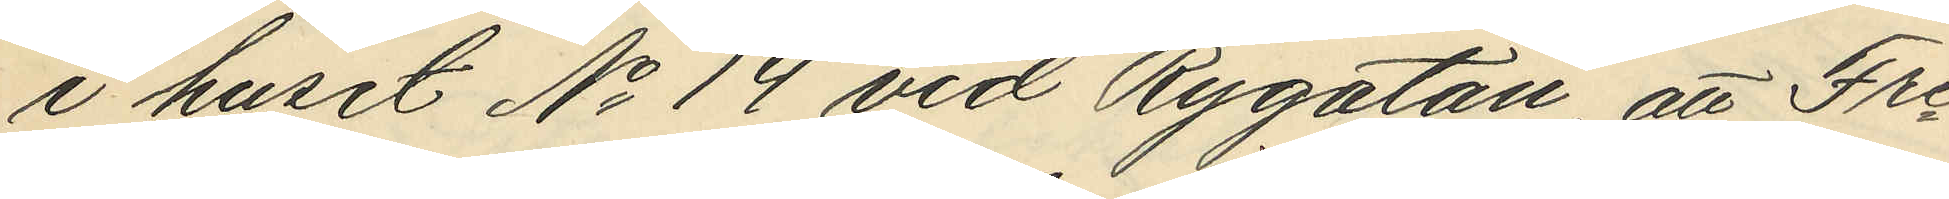i huset No 14 vid Rygatan, att Fre¬
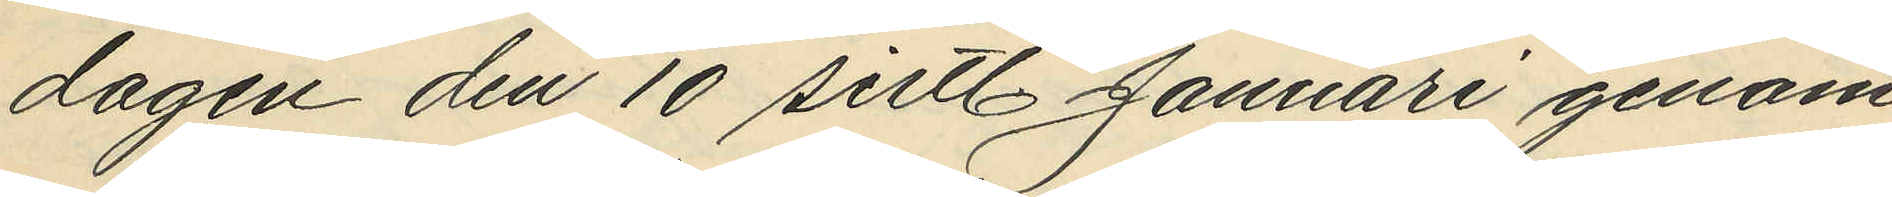dagen den 10 sistl. Januari genom
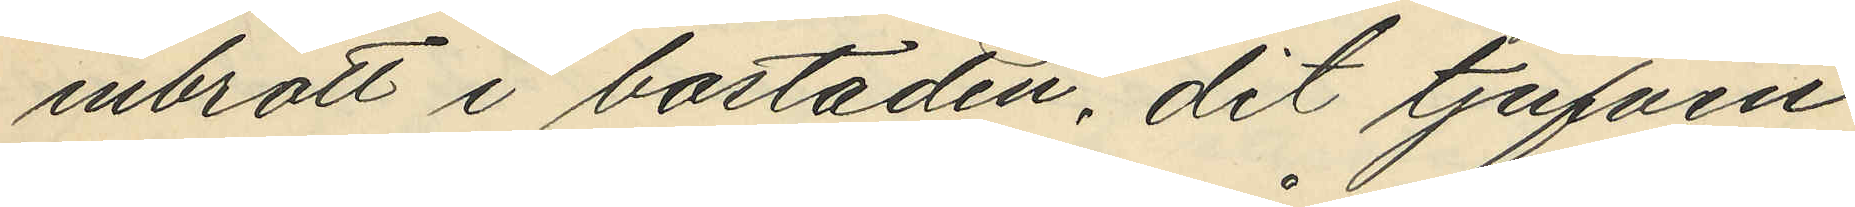inbrott i bostaden, dit tjufven
